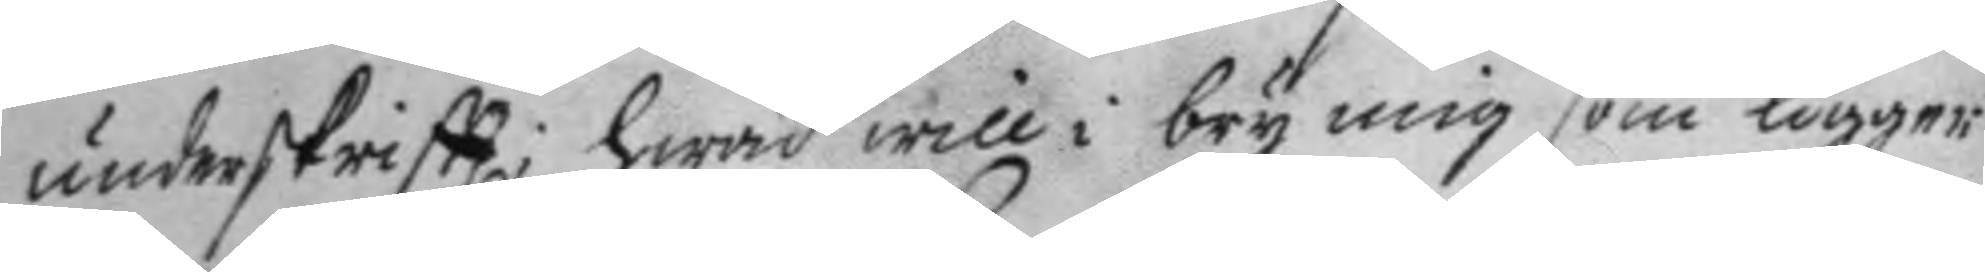underskriftt; hwad will i bry mig som ligger
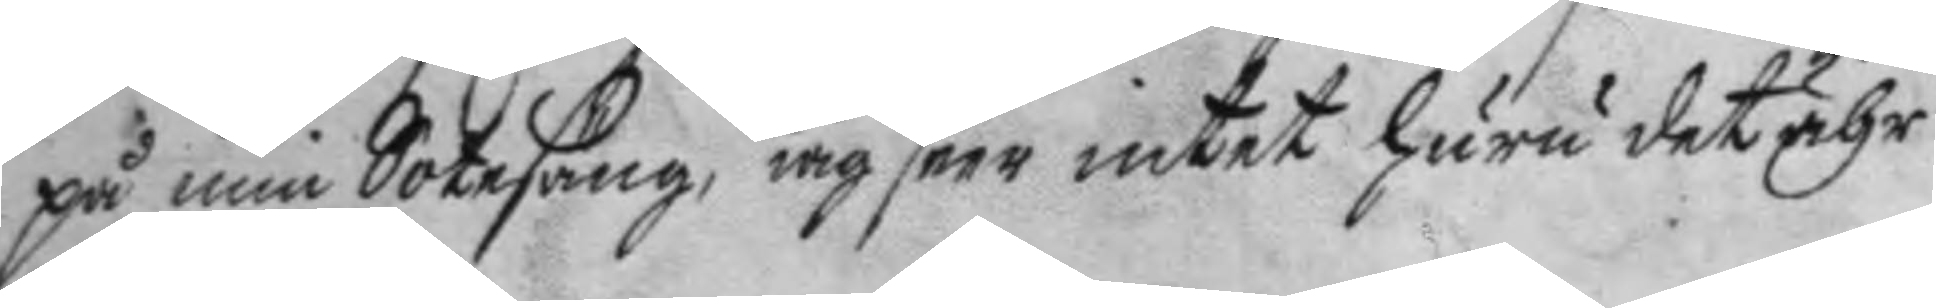på min Sotesäng, iag seer intet huru det ähr
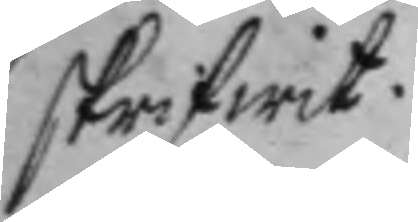skrifwit.
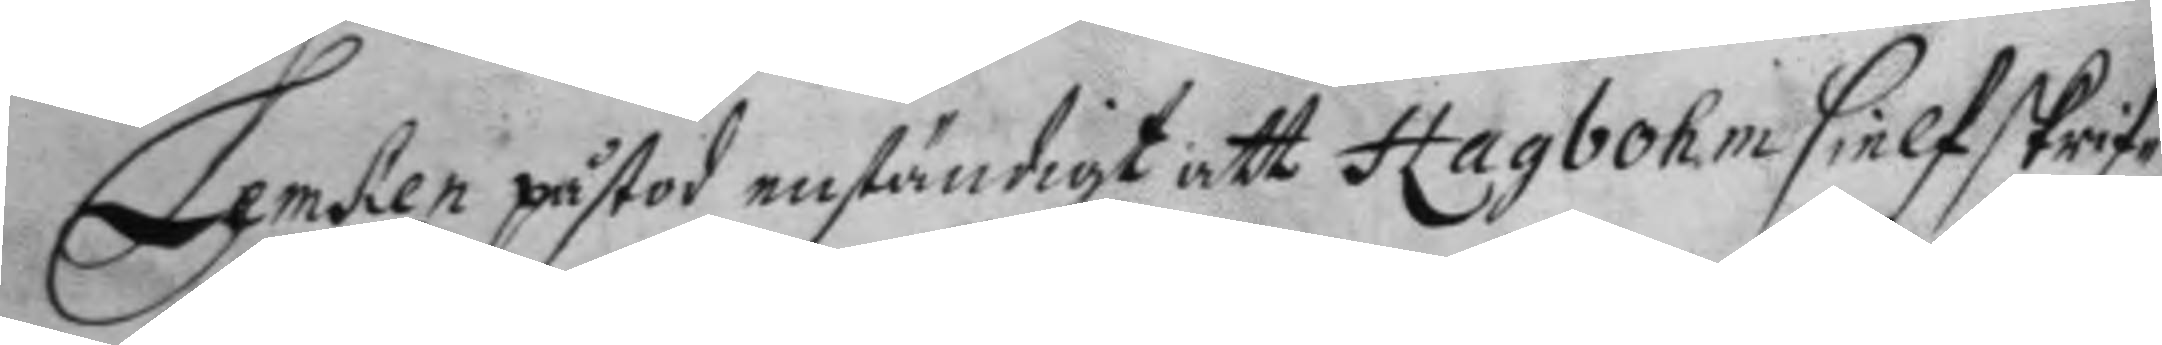Lemken påstod enständigt att hagbohm sielf skrif¬
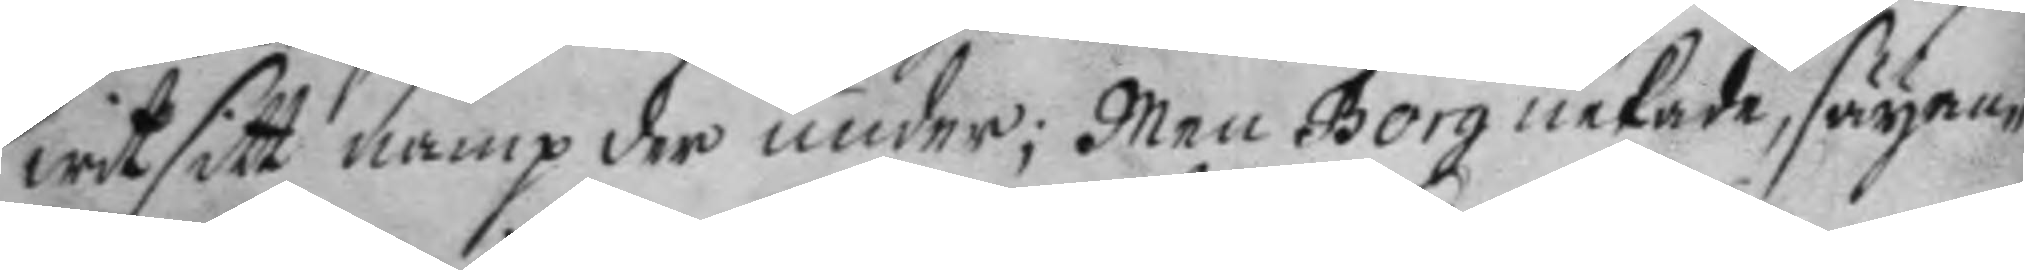wit sitt namp der under; Men Borg nekade, säyan¬
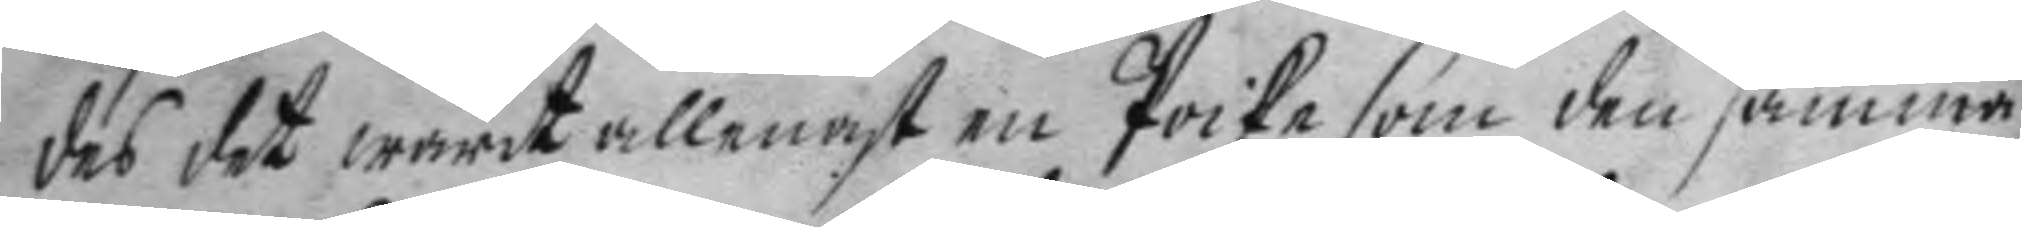des det warit allenast en Poike som den samma
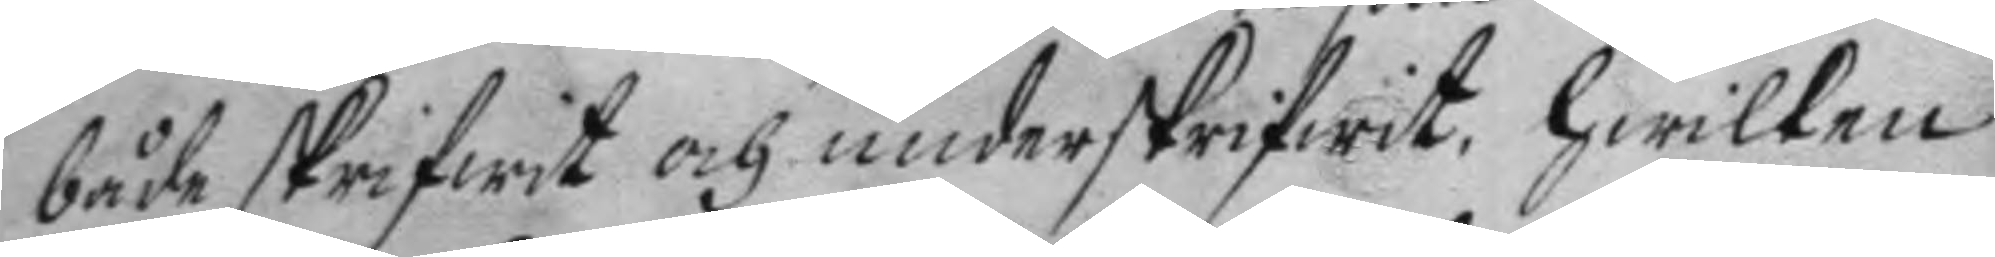både skrifwit och underskrifwit, hwilken
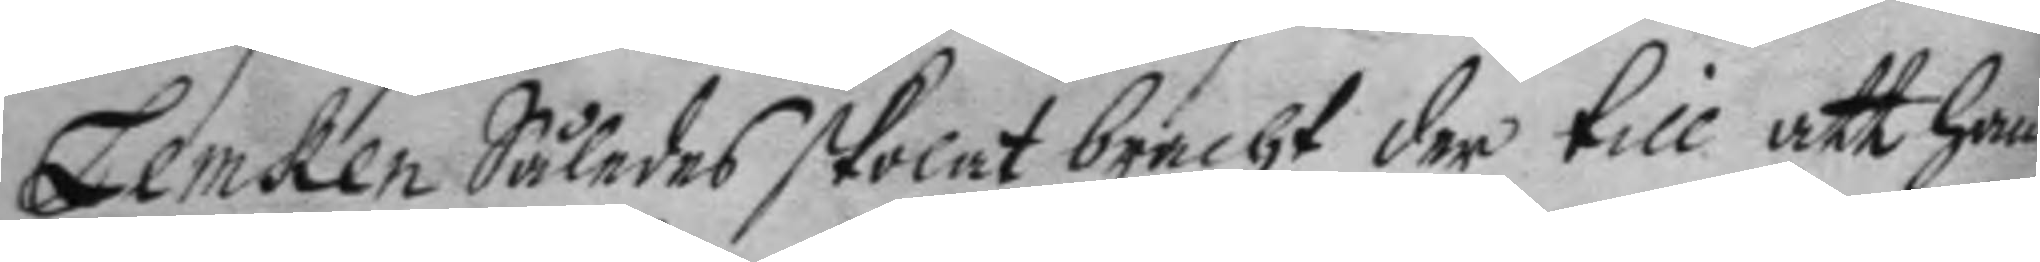Lemken Således skolat bracht der till att han
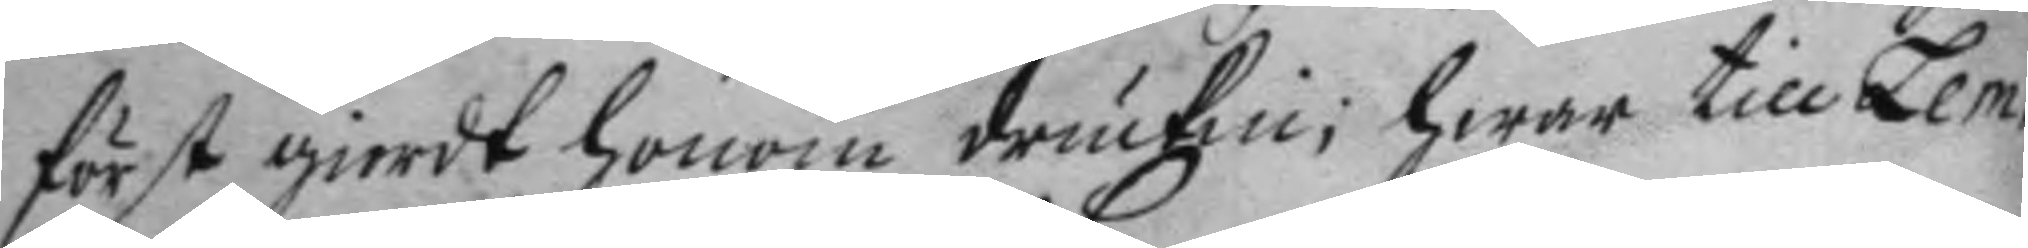först giort honom druckin; hwar till Lem¬
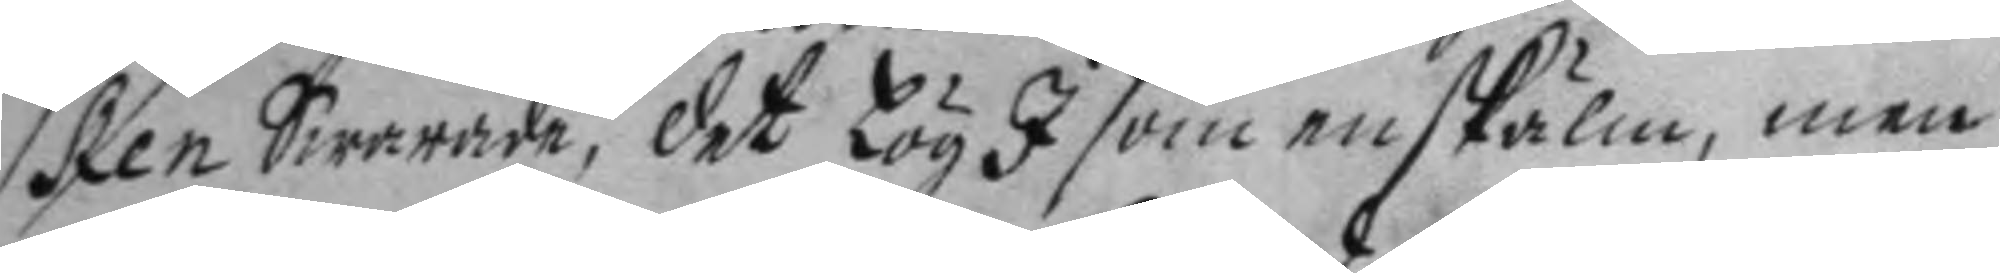ken Swarade, det Lög I som en skiälm, men
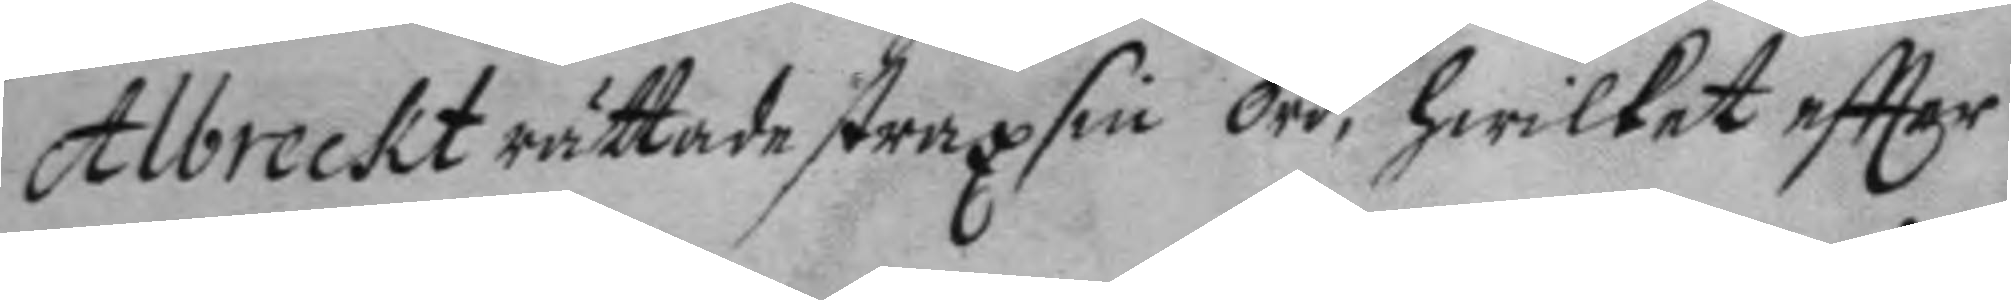Albreckt rättade straxt sin ord, hwilket eftter
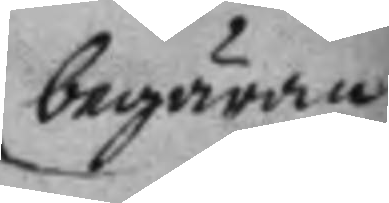begäran
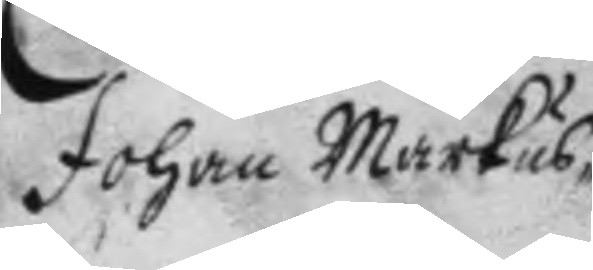Johan Markus¬
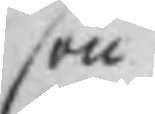son
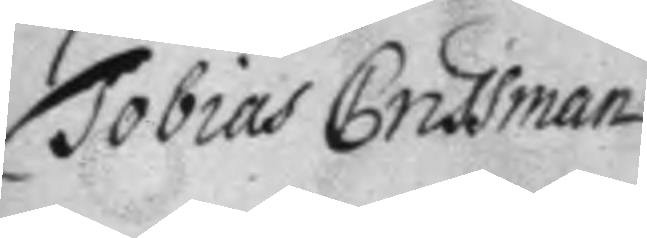Tobias Crissman
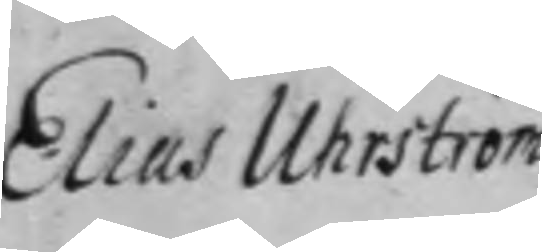Elin Uhrström
